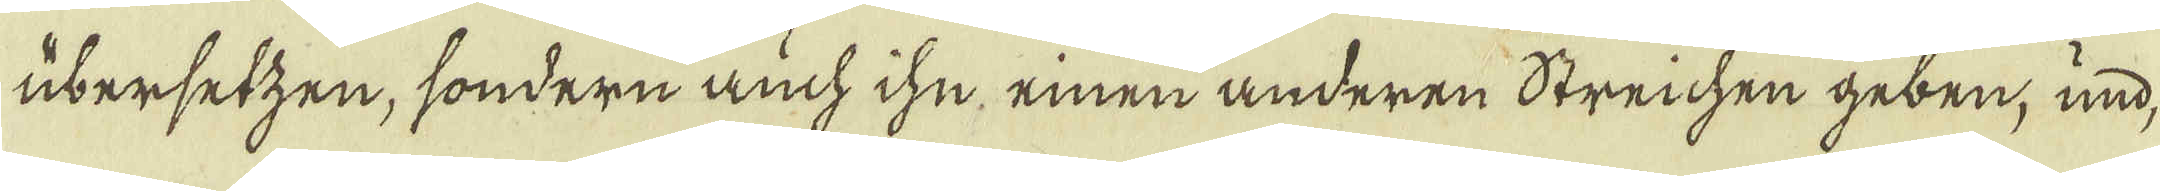übersetzen, sondern auch ihu, einen anderen Streichen geben, und,
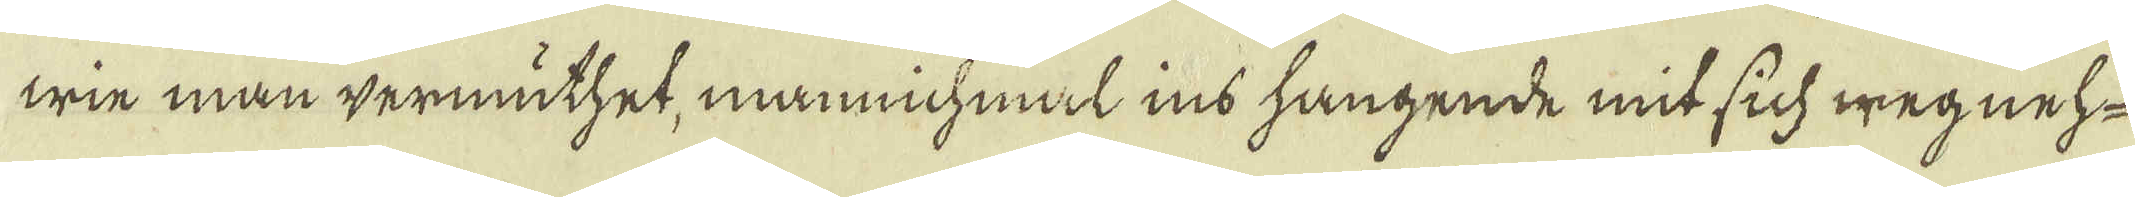wie man vermüthet, mannichmal ins hangende mit sich wegneh-
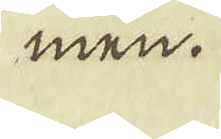men.
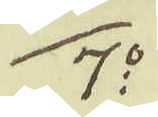7:o
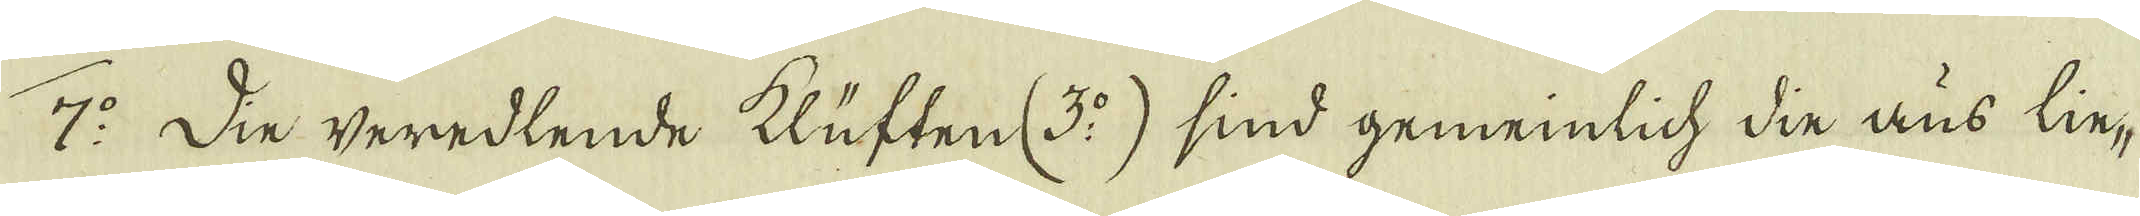7:o Die veredlende klüften (3:o) sind gemeinlich din aus lin-
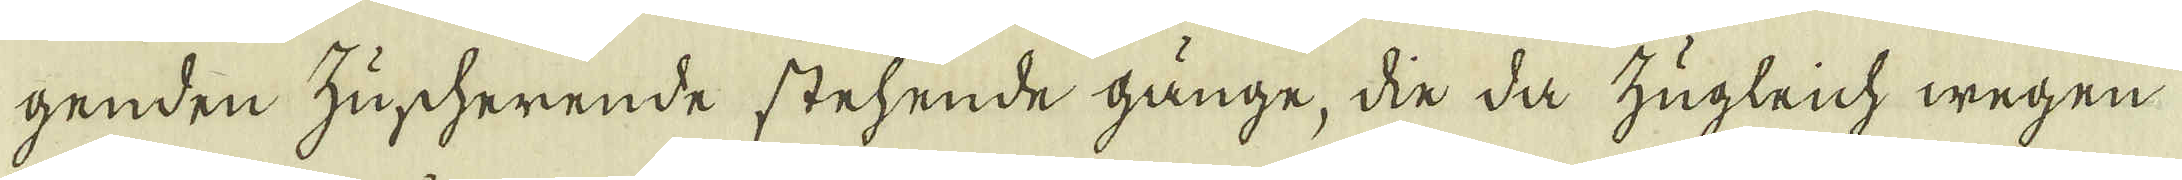genden zuscherende stehende gänge, din da zugleich wegen
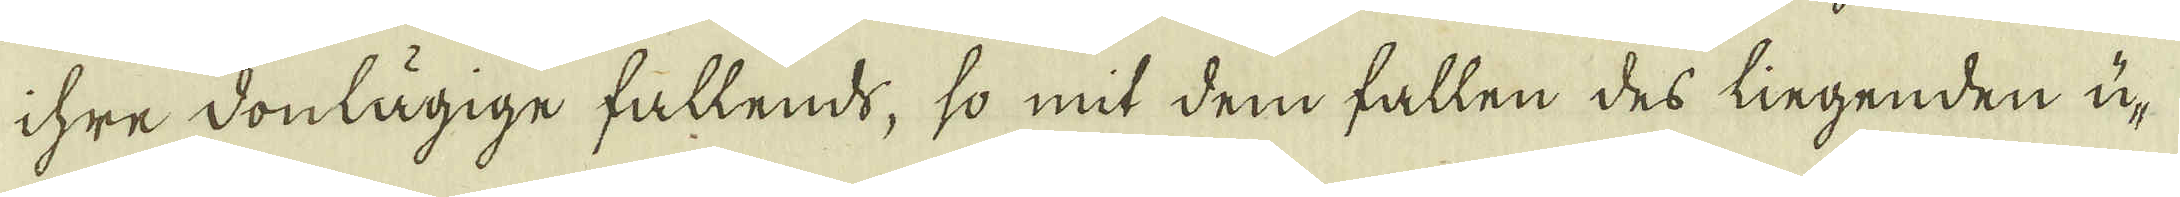ihre donlägige fallends, so mit dem fallen des lingenden ü-
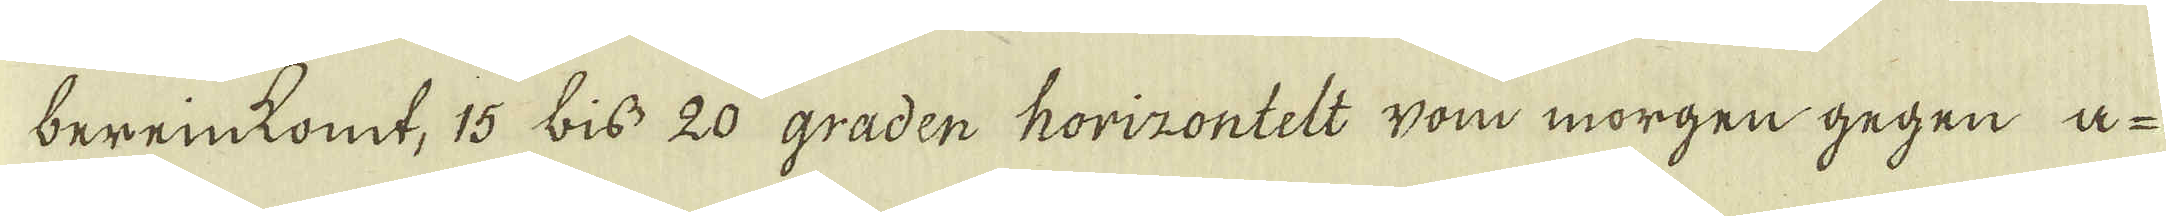bereinkomt, 15 biss 20 graden horizontelt vom morgen gegen a-
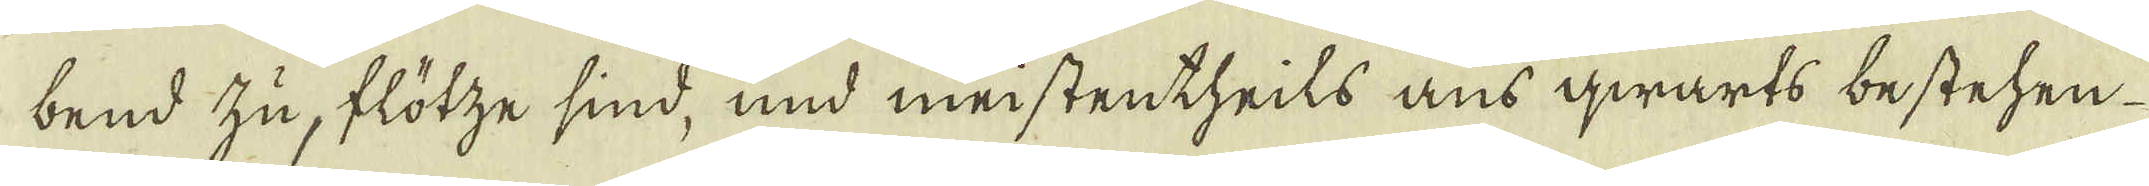bend zu, flötze sind, mnd meistentheils ans qwarts bestehen
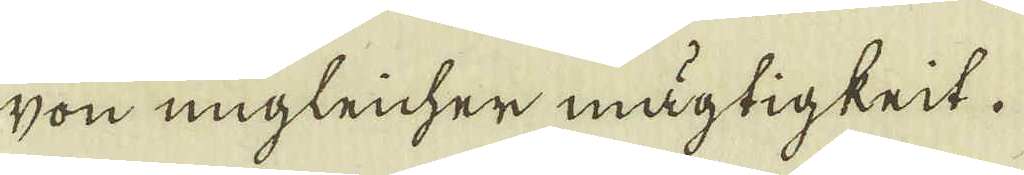son ungleicher mägtigkrit.
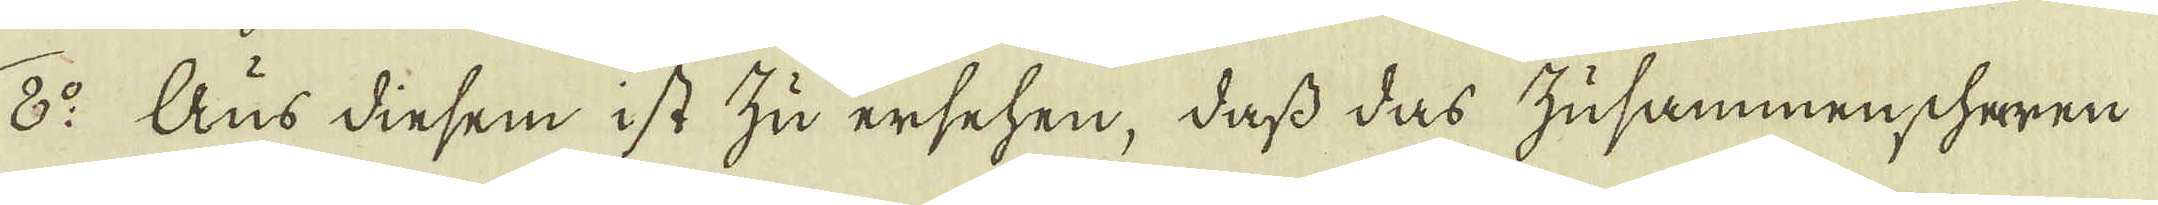8:o Aus dinsem ist zu ersehen, dass das zusammenscheren
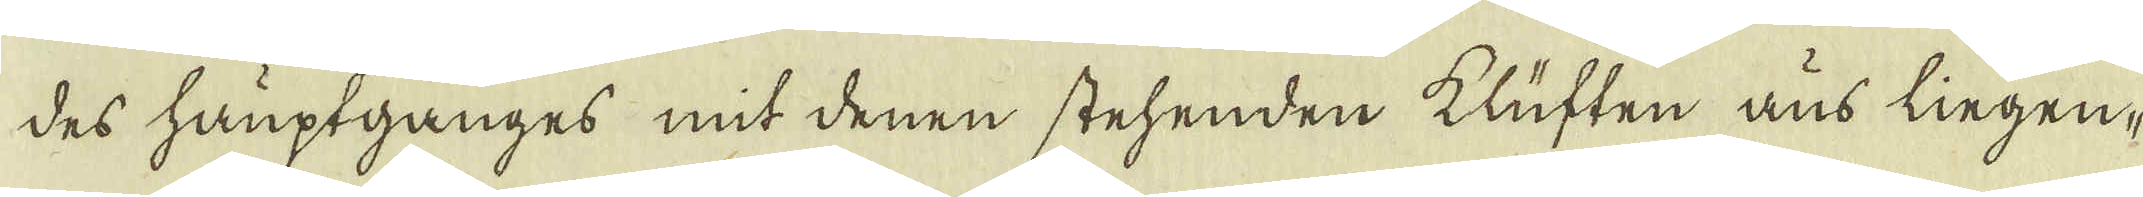des hauptganges mit denen stehenden klüften aus lingen-
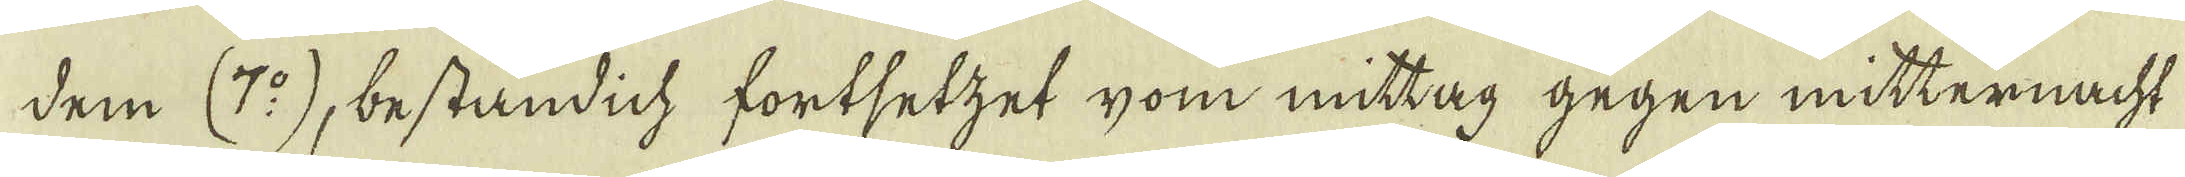dem (7:o), beständich fortsetzet yom mittag gegen mitternacht
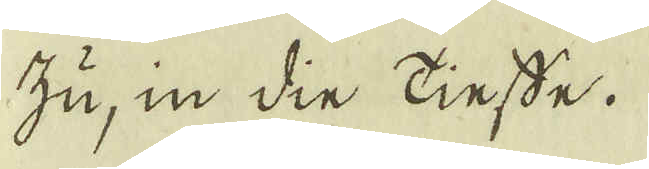zu, in din tinsde.
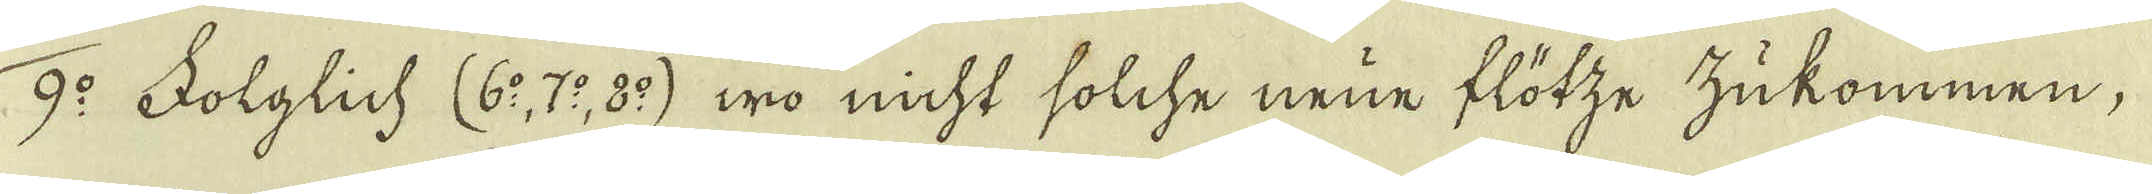9:o Folglich (6:o, 7:o, 8:o) wo nicht solche neue flötze zukommen;
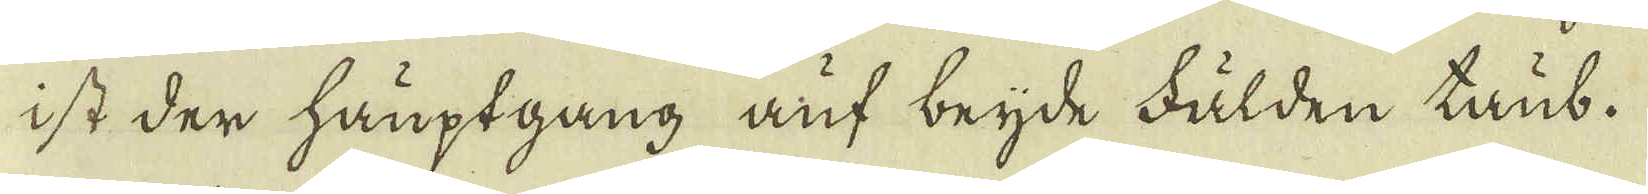ist der hauptgång auf beijde fälden taub.
